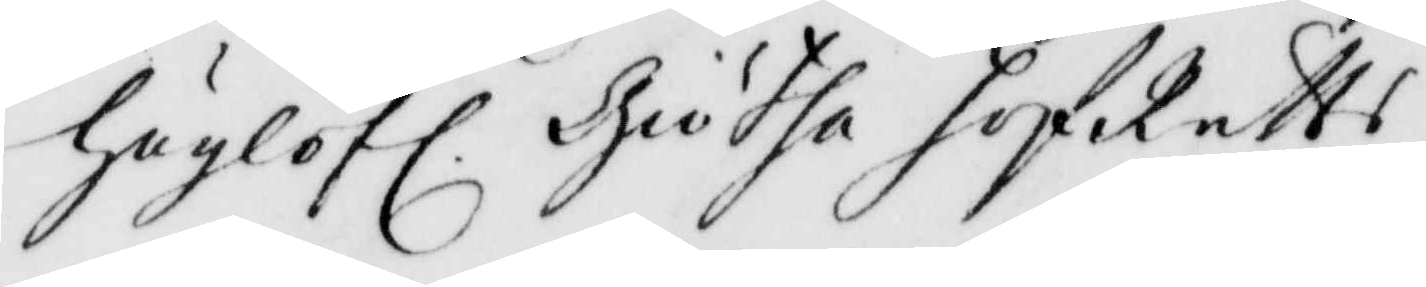höglofl. Giötha hofRätts
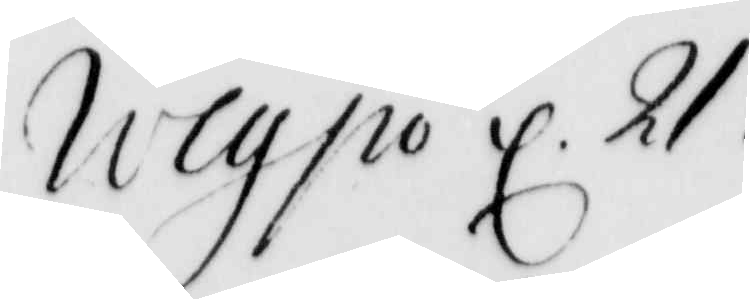Wexsiö d 21
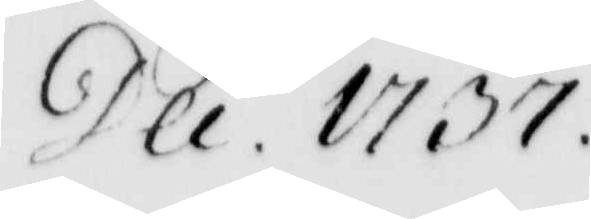Dec. 1737
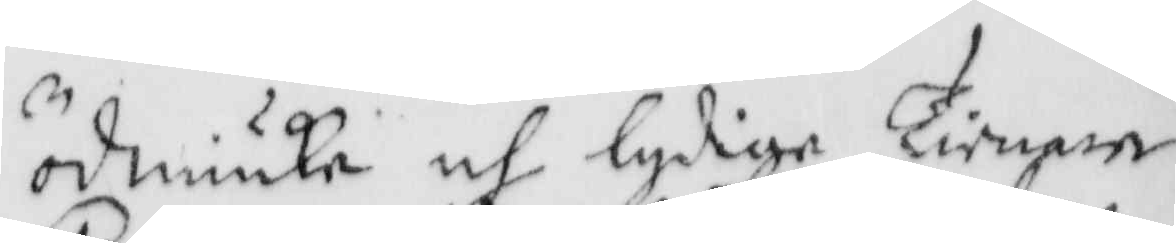ödmiuke och lydige Tienare
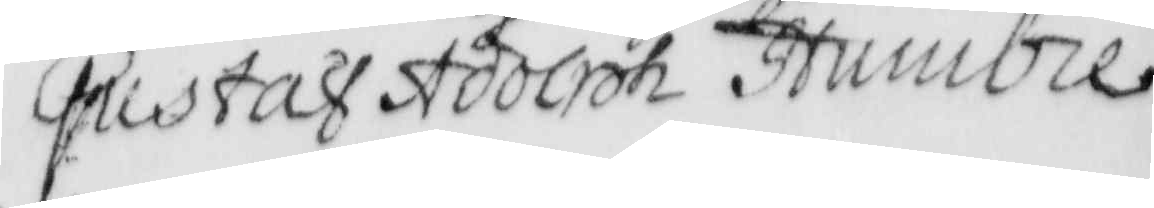Gustaf Adolph Humbel
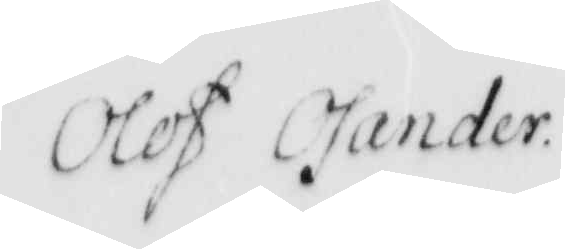Olof Zander
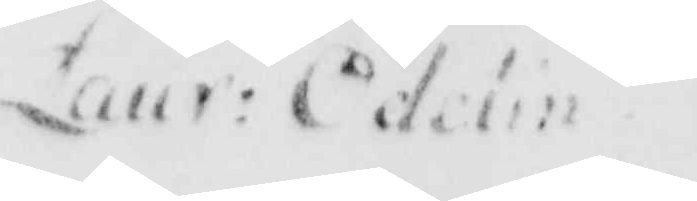Laur: Edelin
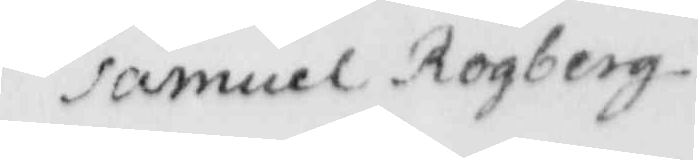samuel Rogberg
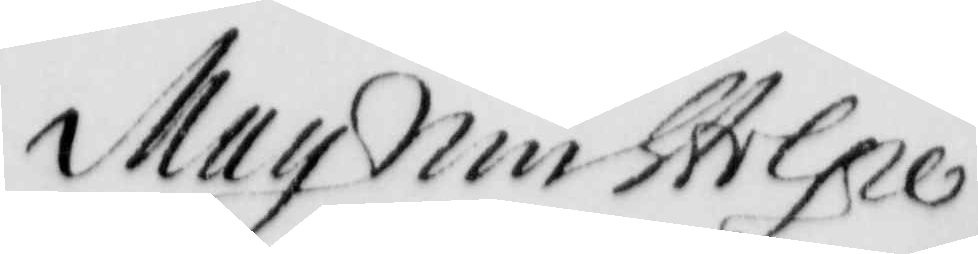Magnin Stolpe
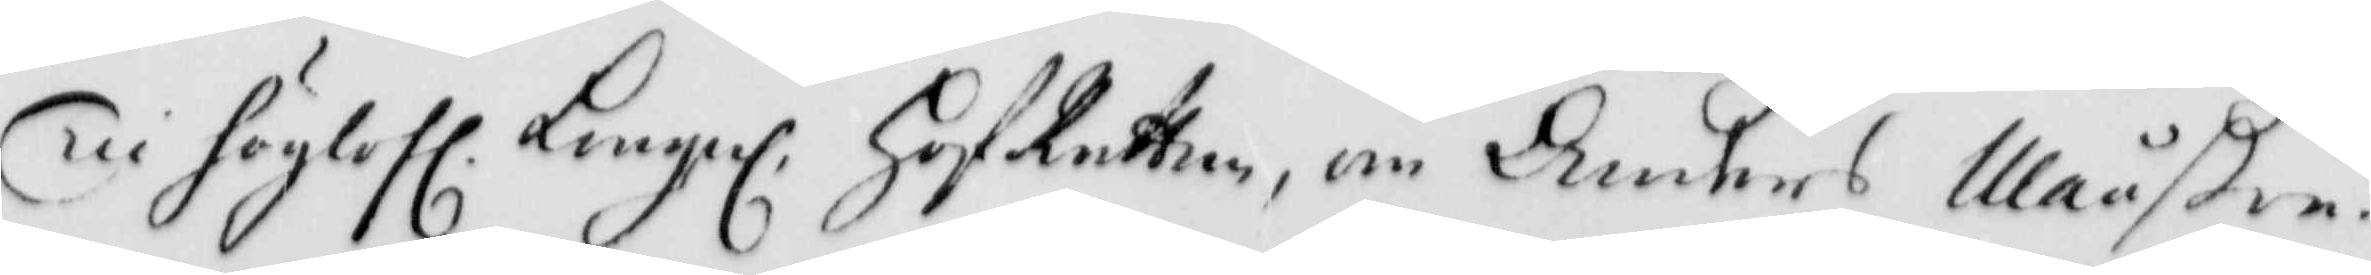Til höglofl. Kungel. HofRätten, om Anders Månßon
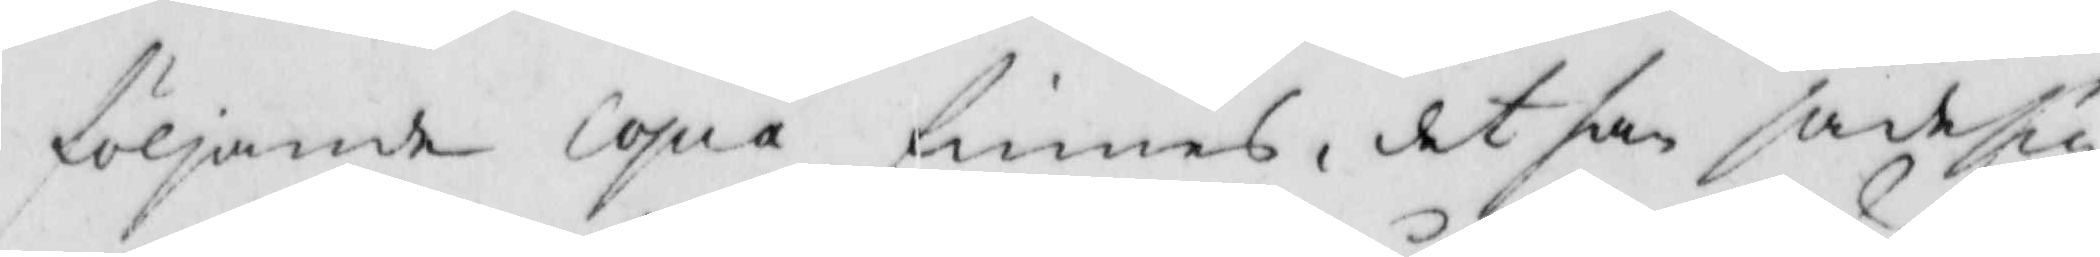följande copia finnas, det han sade sig
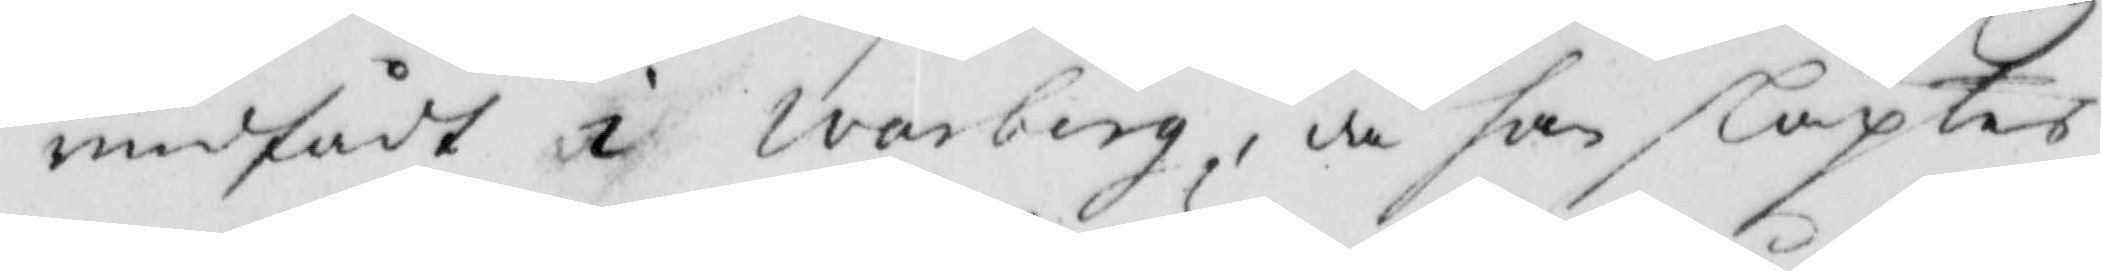medfådt i Warberg, då han släptes
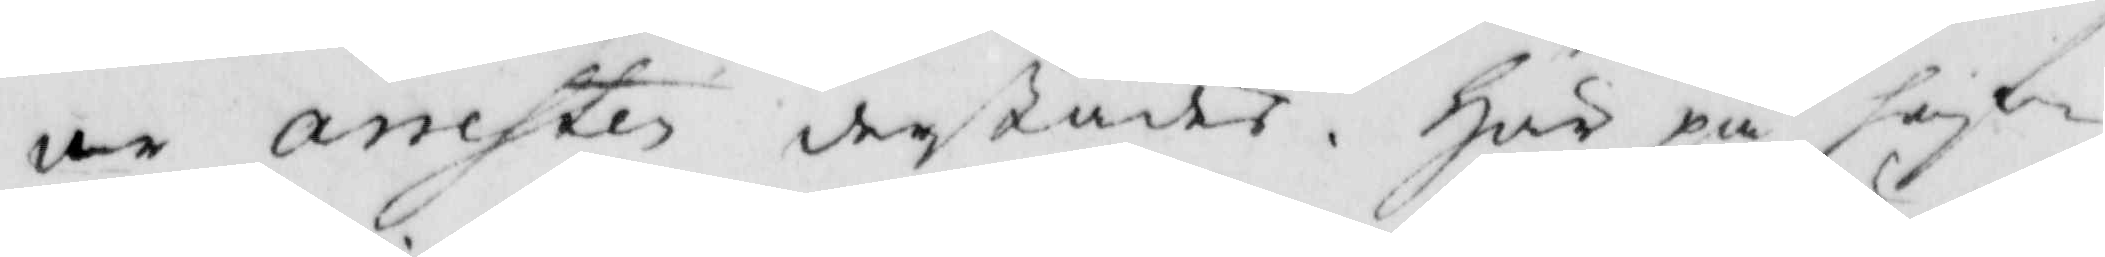ut arresten derstädes. Här på haf¬
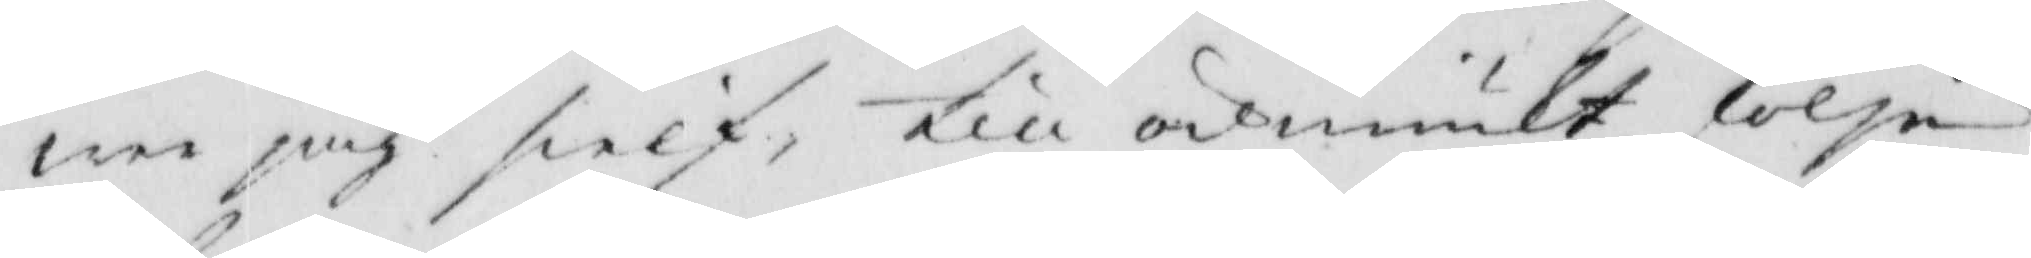wer jiag sielf, till ödmiukt följe
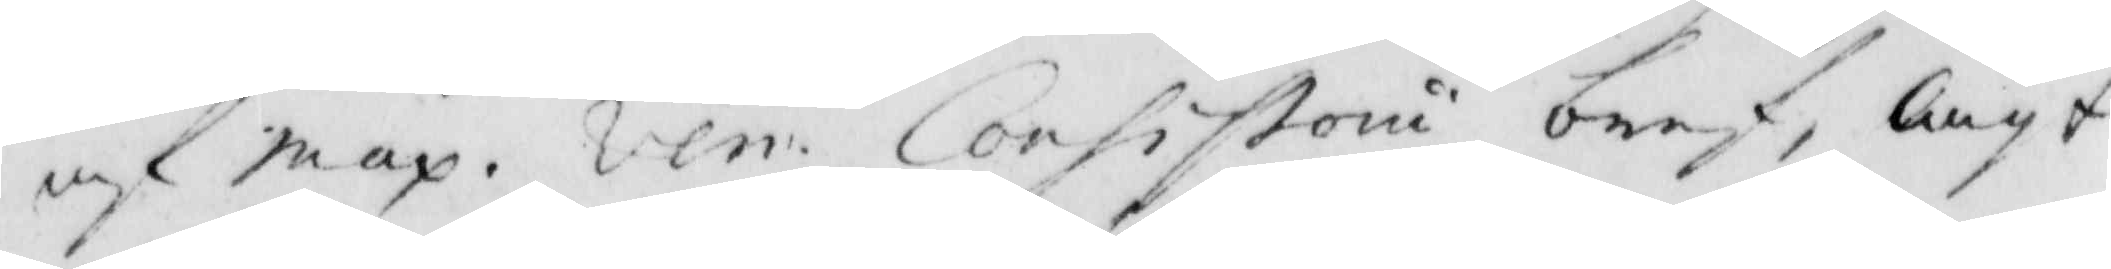af map. Ven. Consistorii bref, lagt
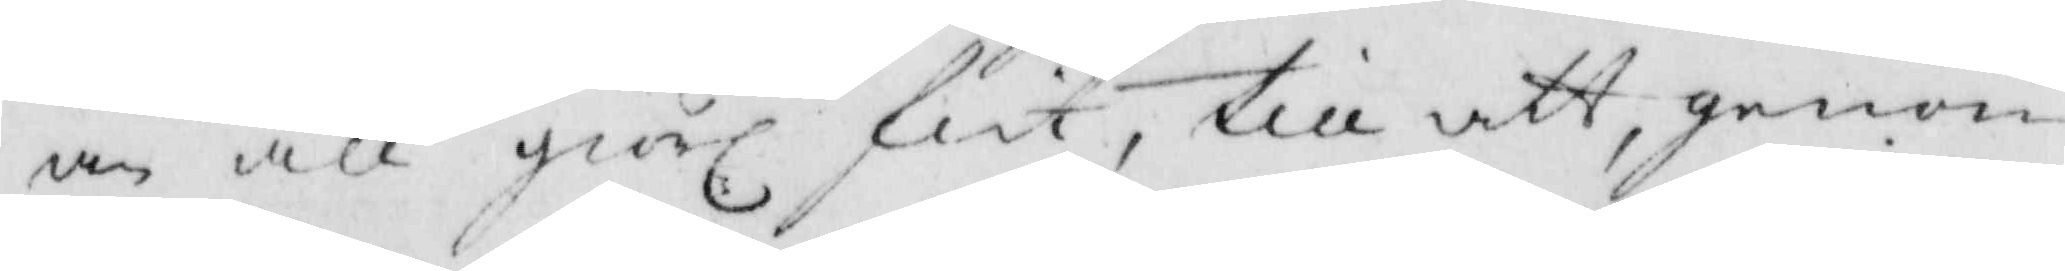an all giörl. flit, till att, genom
